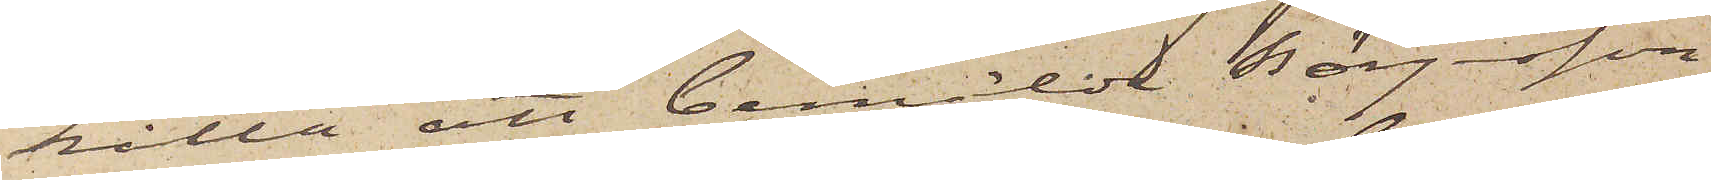hålla att bemälde Börjesson,
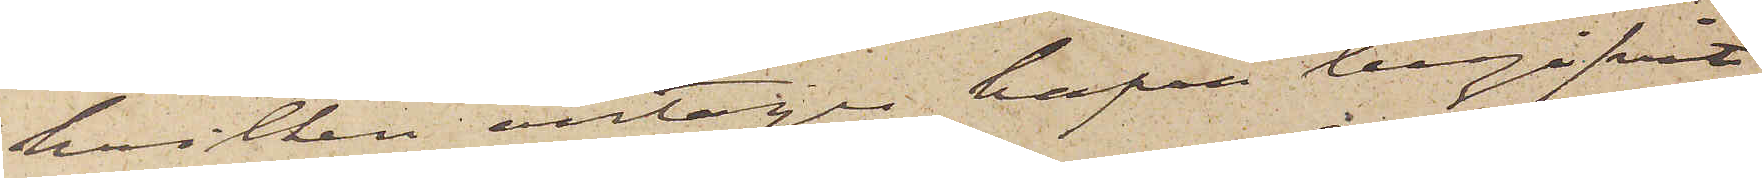hvilken antages hafva begifvit
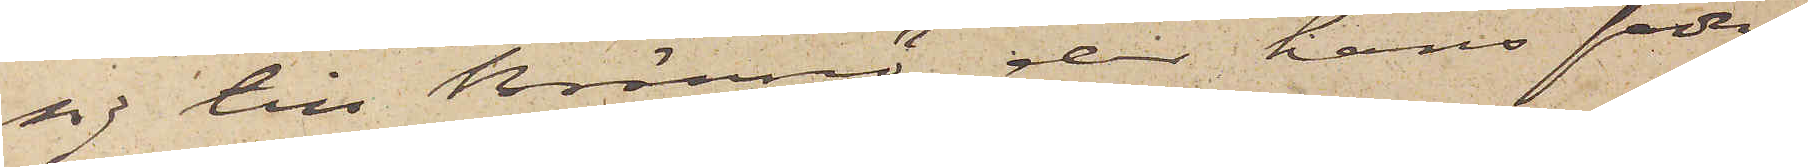sig till Brännö, der hans fader
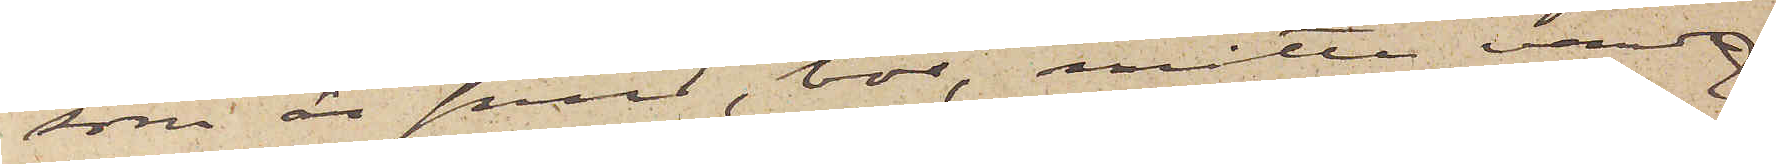som är smed, bor, måtte varda
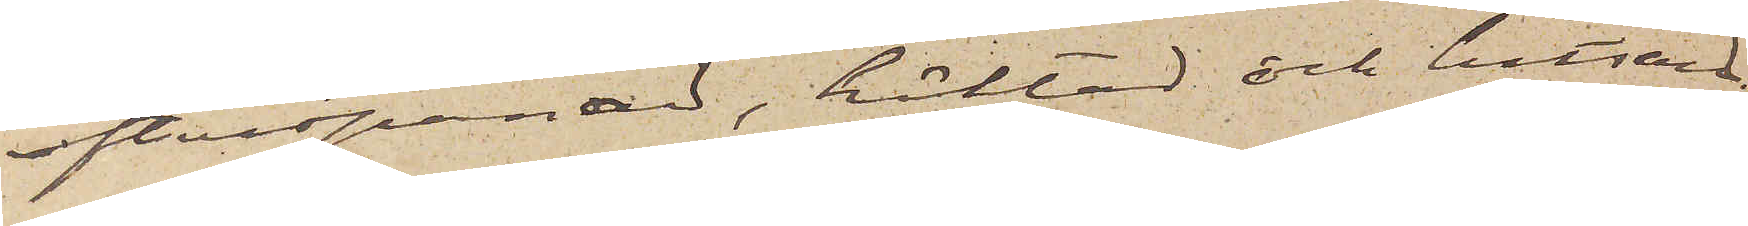efterspanad, häktad och hitsänd.
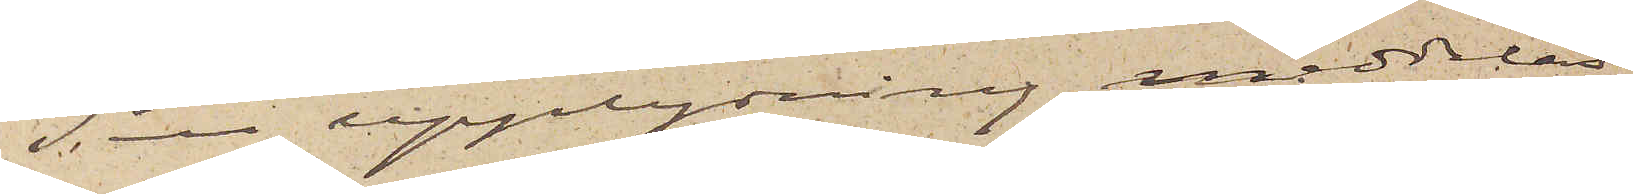Till upplysning meddelas,
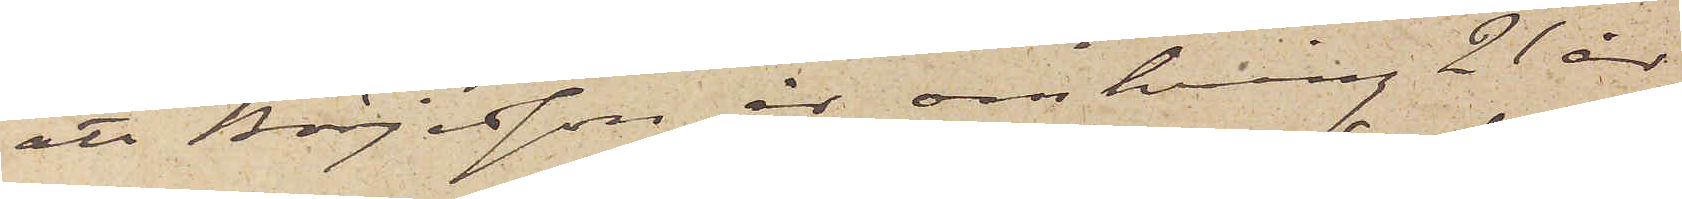att Börjesson är omkring 21 år
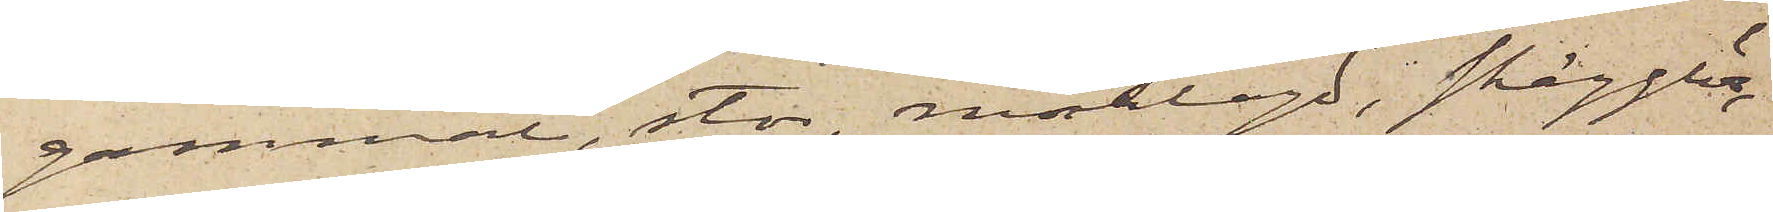gammal, stor, mörklagd, skägglös
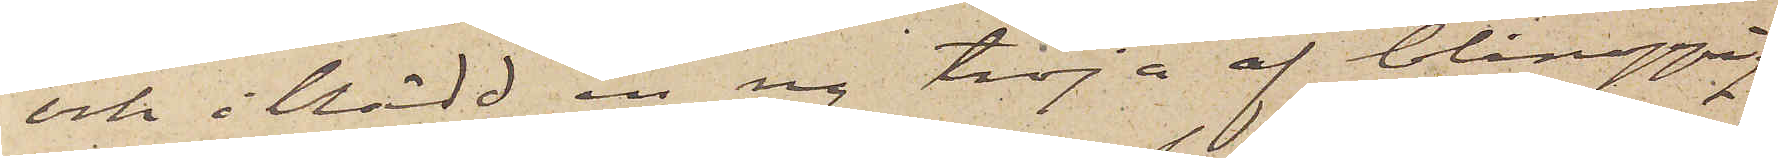och iklädd en ny tröja af blånoppig
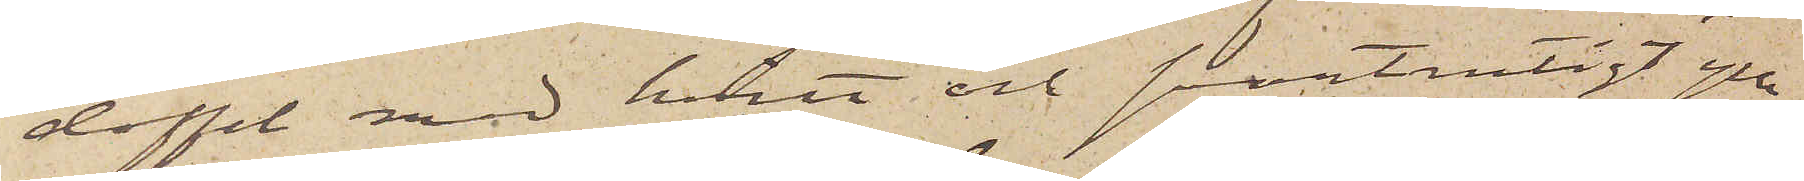doffel med hvitt och svartrutigt ylle¬
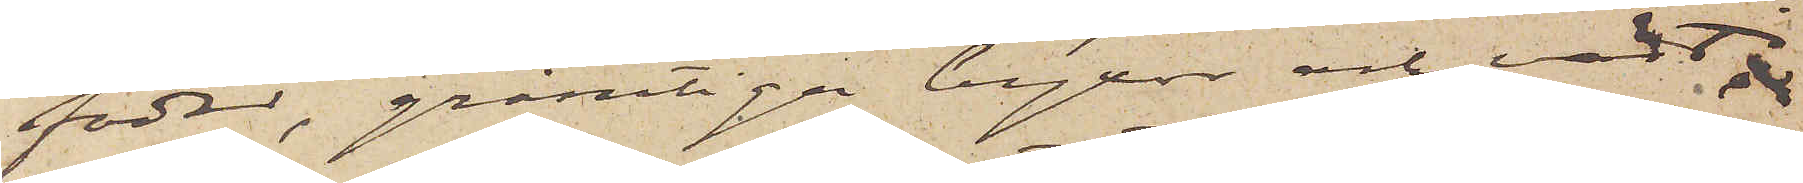foder, grårutiga byxor och väst 
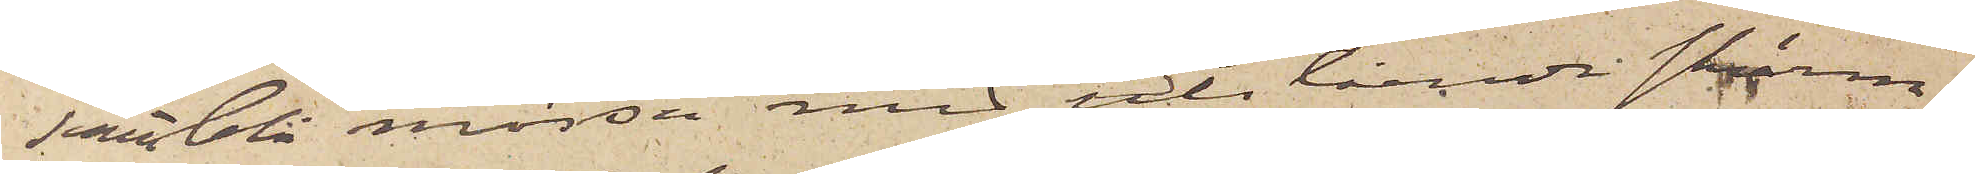samt blå mössa med utstående skärm.
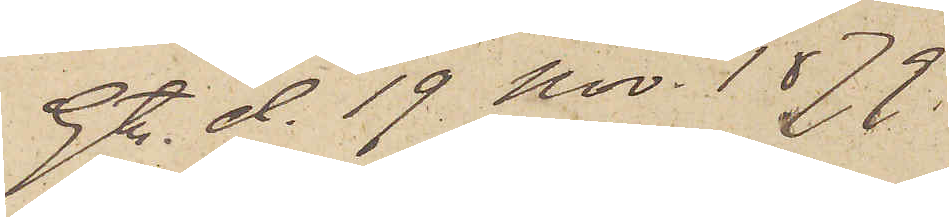Gtbg d. 19 Nov. 1879.
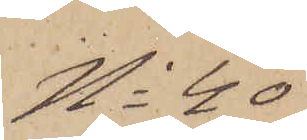No 40
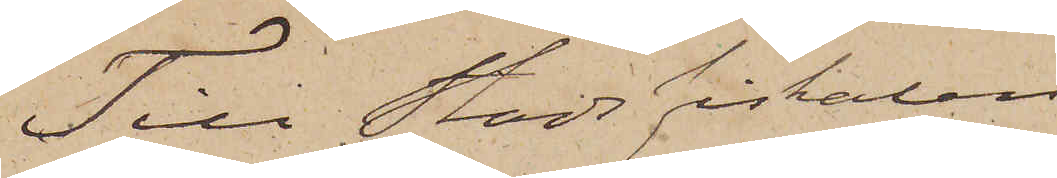Till Stadsfiskalen i
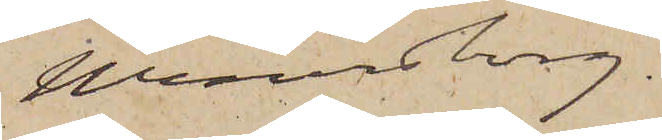Wenersborg.
